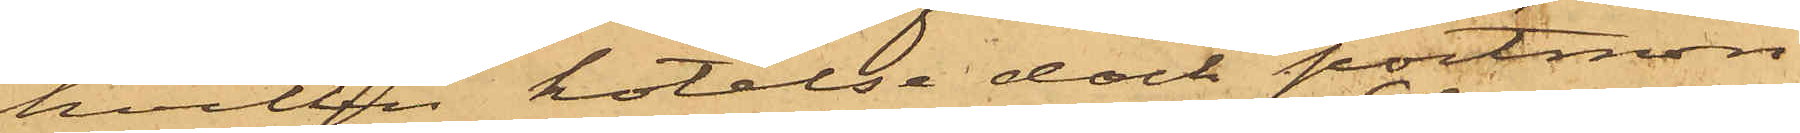hvilken hotelse dock portmon¬
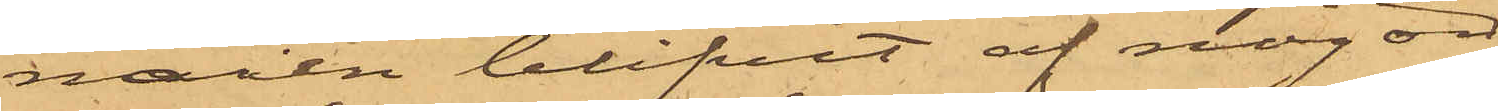naien blifvit af någon¬
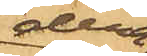dera
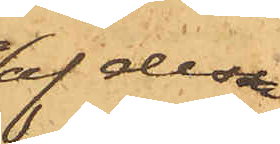af dessa
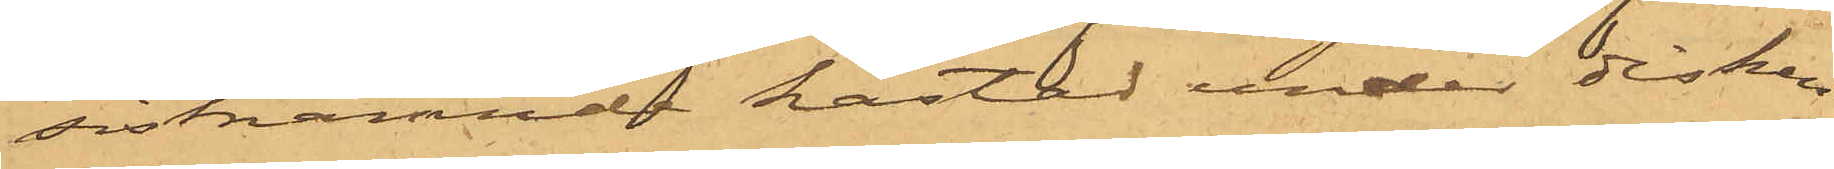sistnämnde kastad under disken
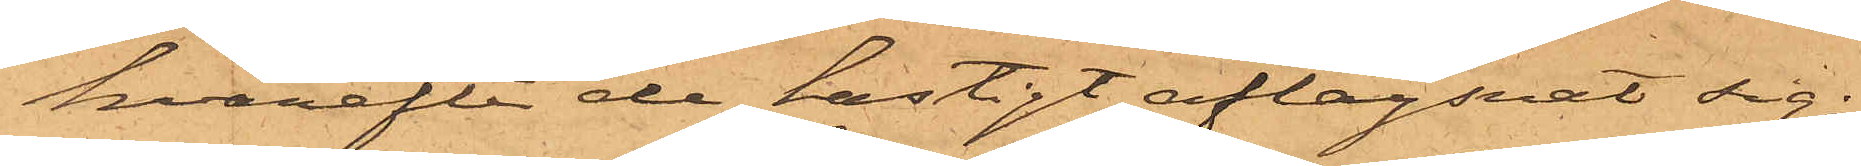hvarefter de hastigt aflägsnat sig;
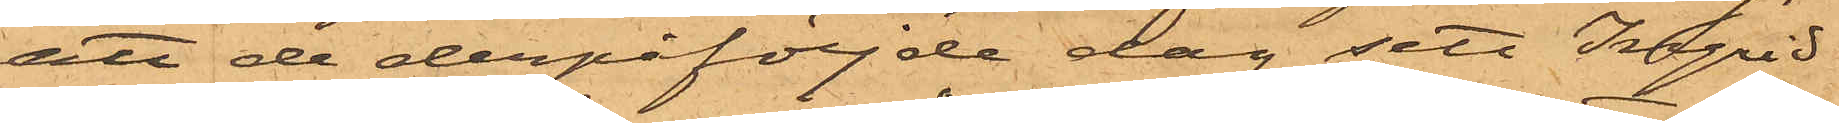att de derpåföljde dag sett Ingrid
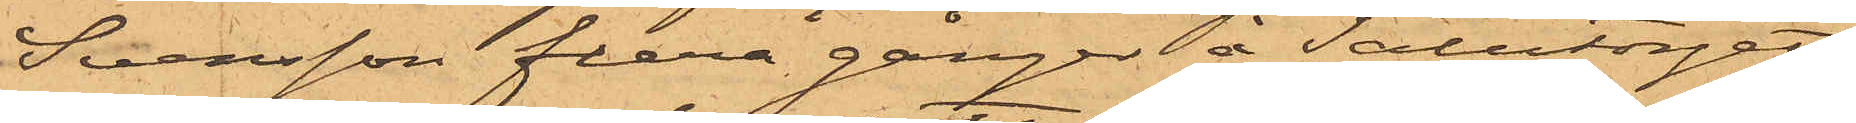Svensson flera gånger å Salutorget
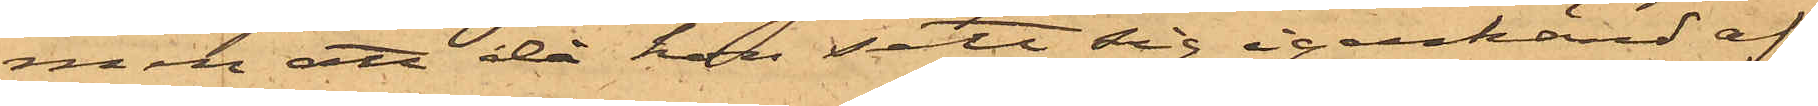men att då hon sett sig igenkänd af
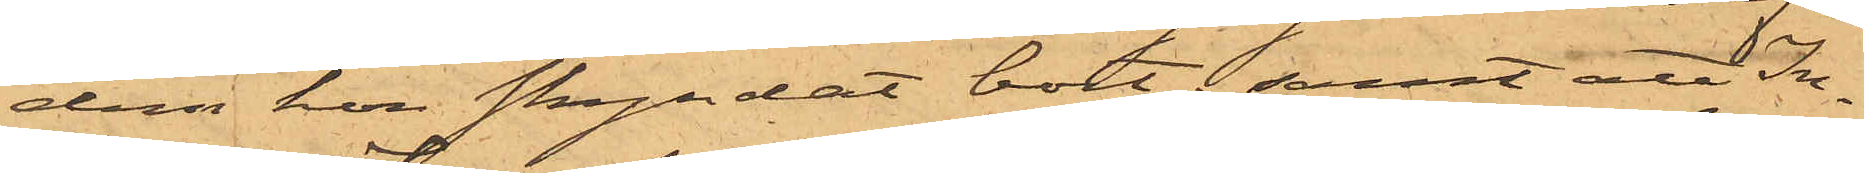dem hon skyndat bort; samt att In¬
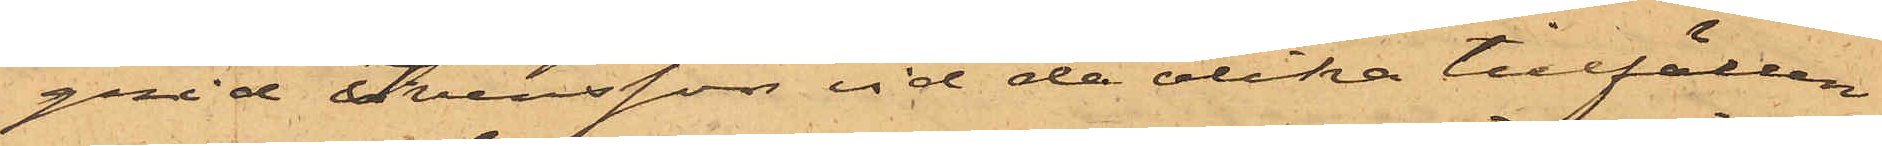grid Svensson vid de olika tillfällen
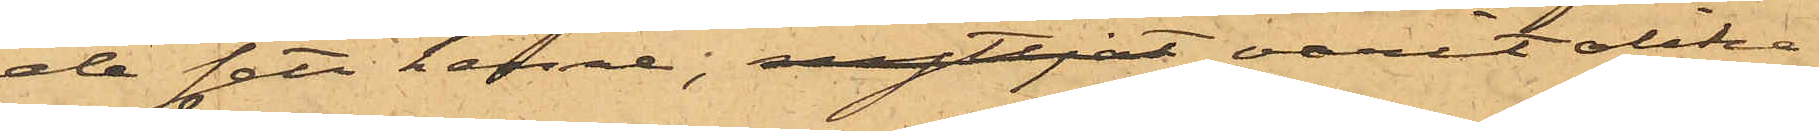de sett henne, nyttjat varit olika
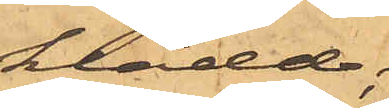klädd;
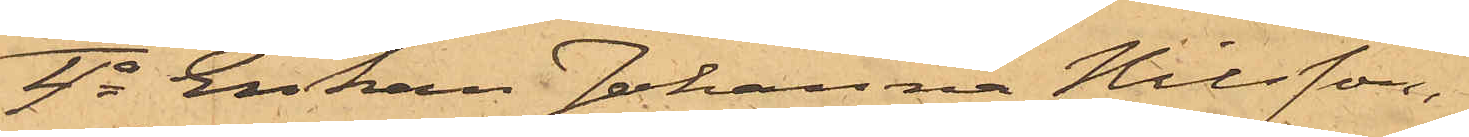4o Enkan Johanna Nilsson,
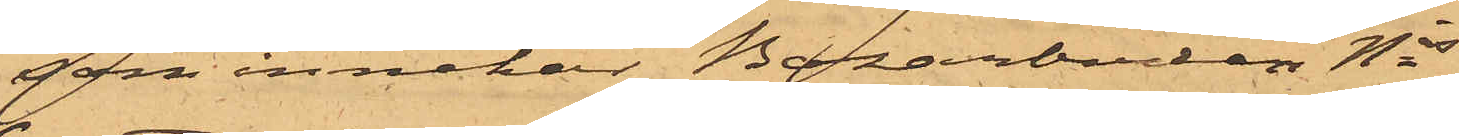som innehar Bazarboden Nis 
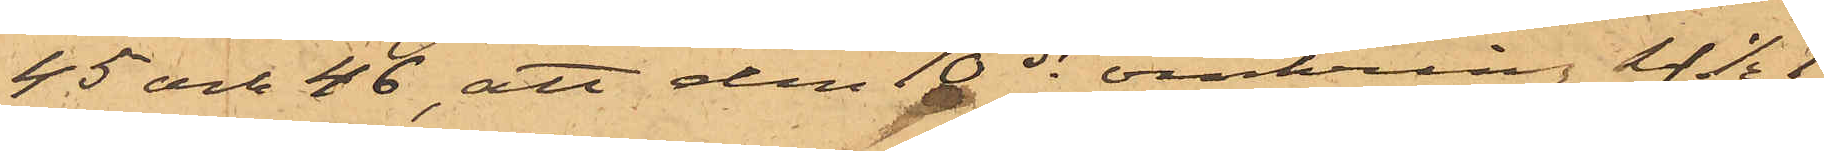45 och 46, att den 10 ds omkring kl. 1/2 1
